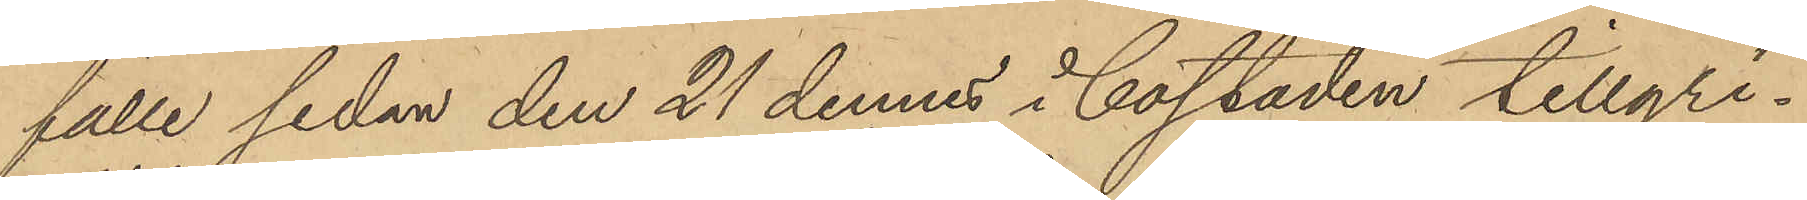fälle sedan den 21 dennes i bostaden tillgri¬
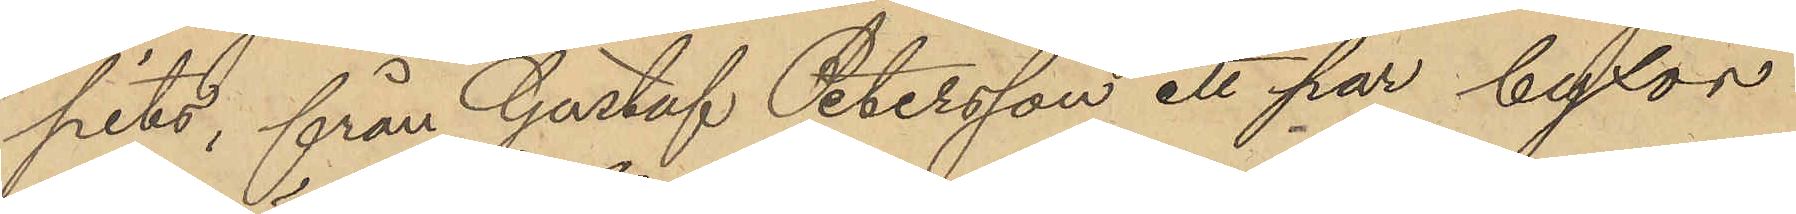pits, från Gustaf Petersson ett par byxor
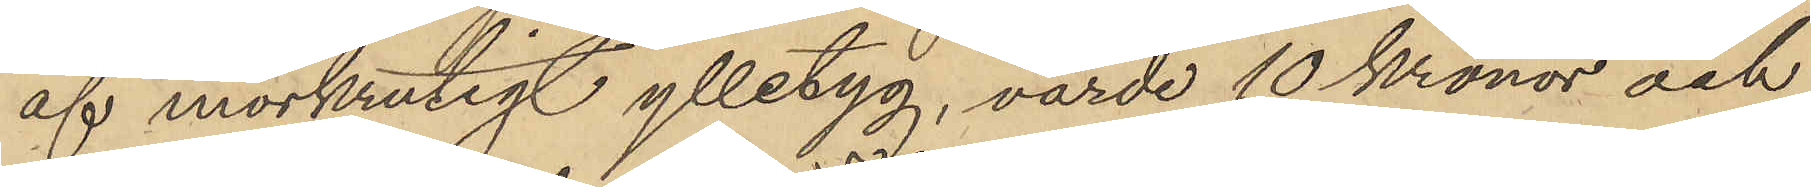af mörkrutigt ylletyg, värde 10 Kronor och
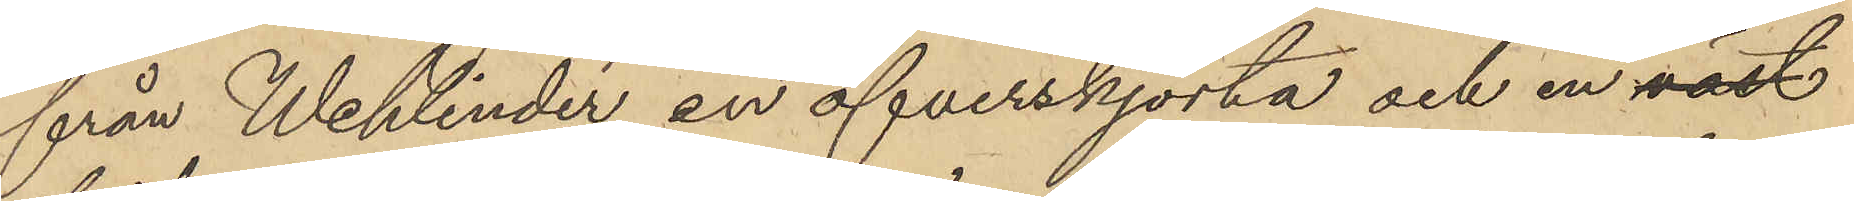från Wehlinder en öfverskjorta och en väst
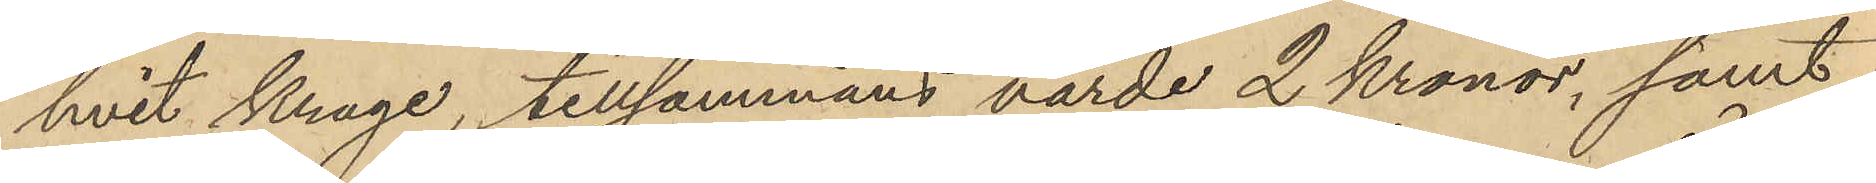hvit krage, tillsammans värde 2 Kronor, samt
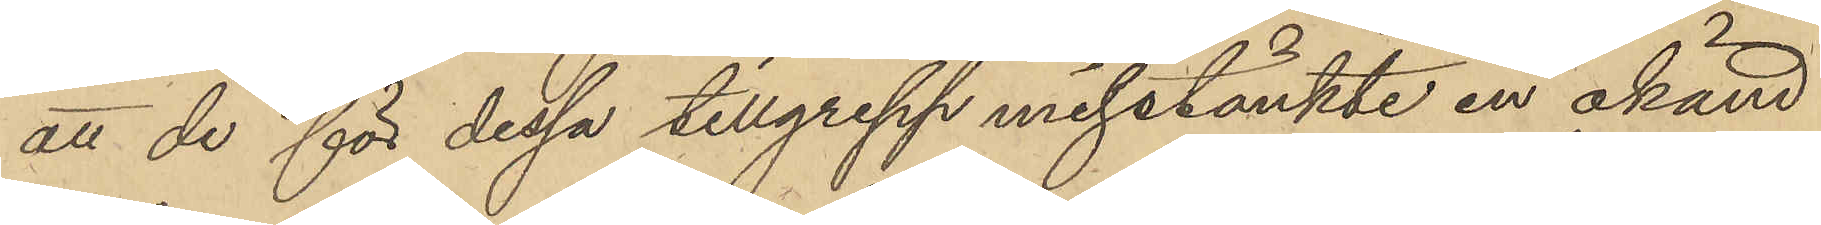att de för dessa tillgrepp misstänkte en okänd
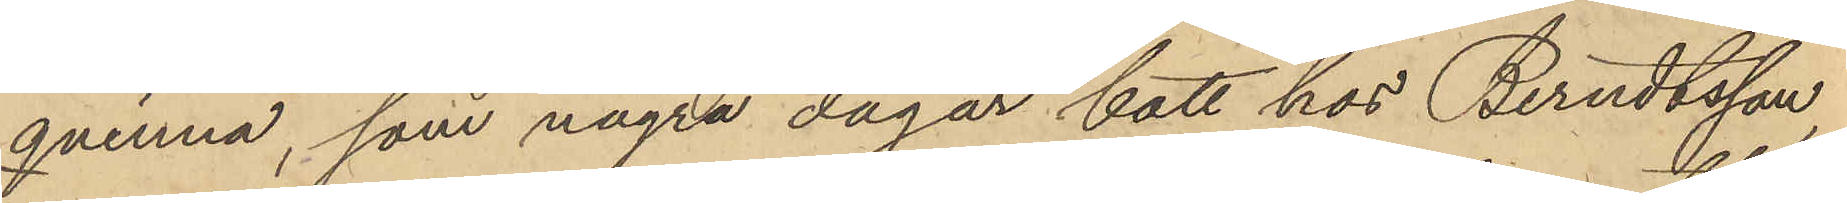qvinna, som några dagar bott hos Berndtsson,
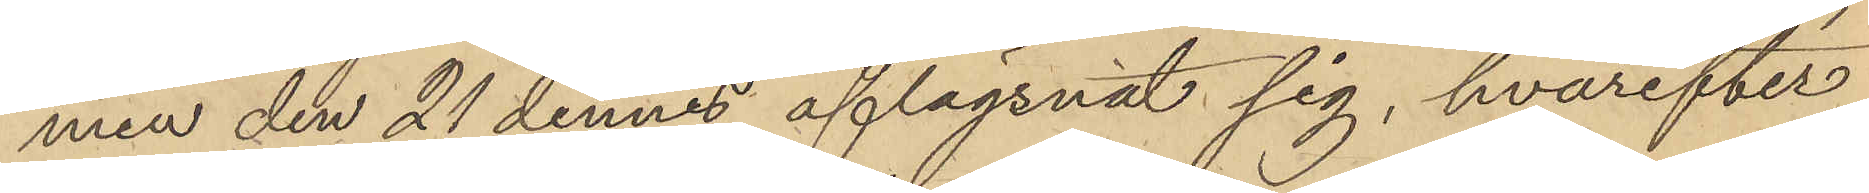men den 21 dennes aflägsnat sig, hvarefter
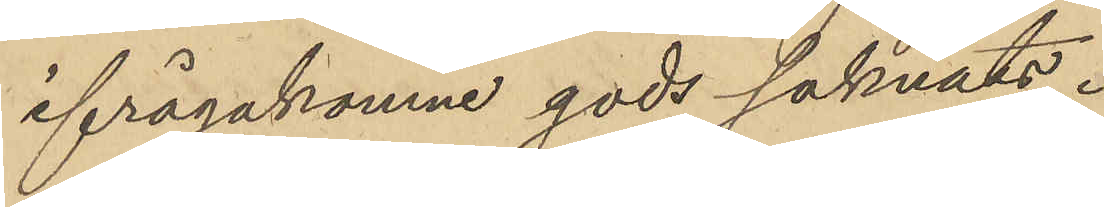ifrågakomne gods saknats.
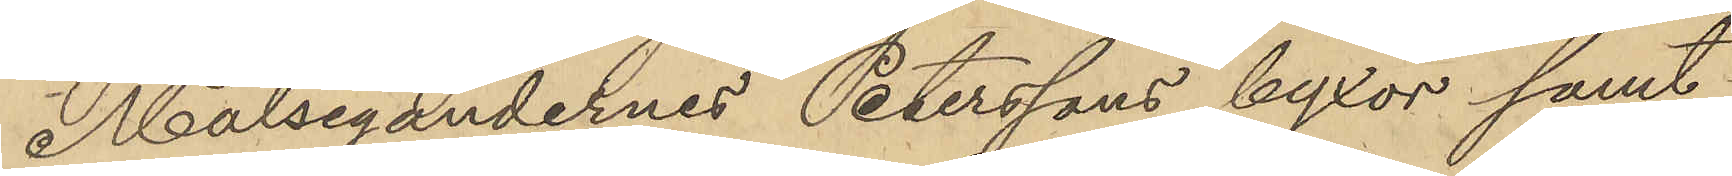Målsegandernes Peterssons byxor samt
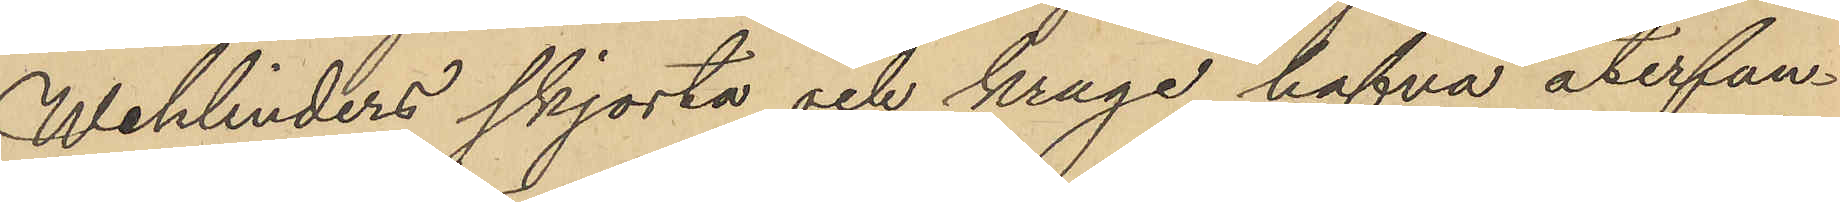Wehlinders skjorta och krage hafva återfun¬
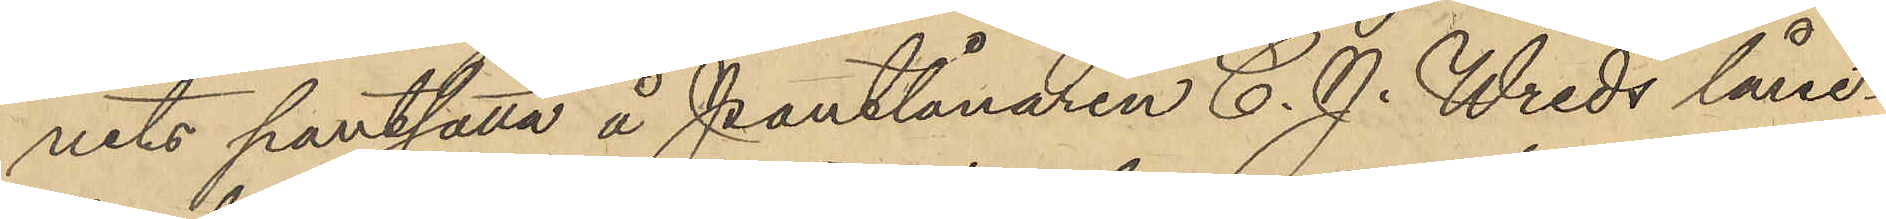nits pantsatta å Pantlånaren C. J. Wreds låne¬
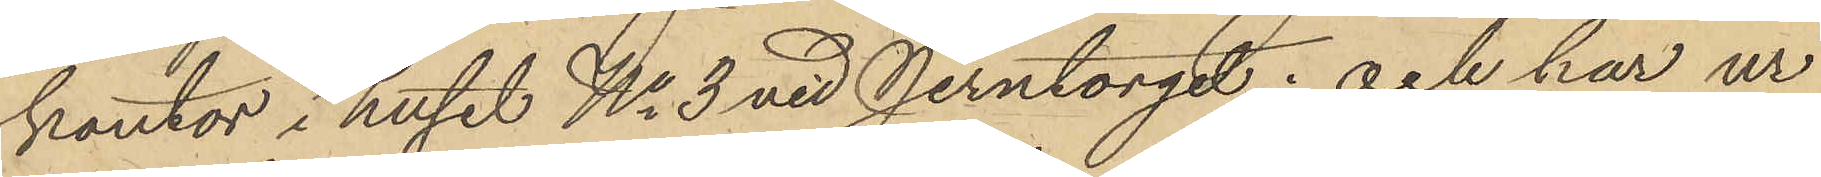kontor i huset No 3 vid Jerntorget; och har ur
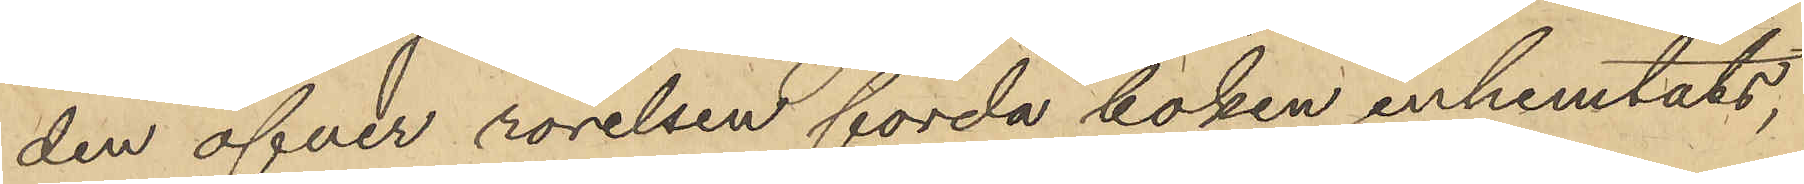den öfver rörelsen förda boken inhemtats,
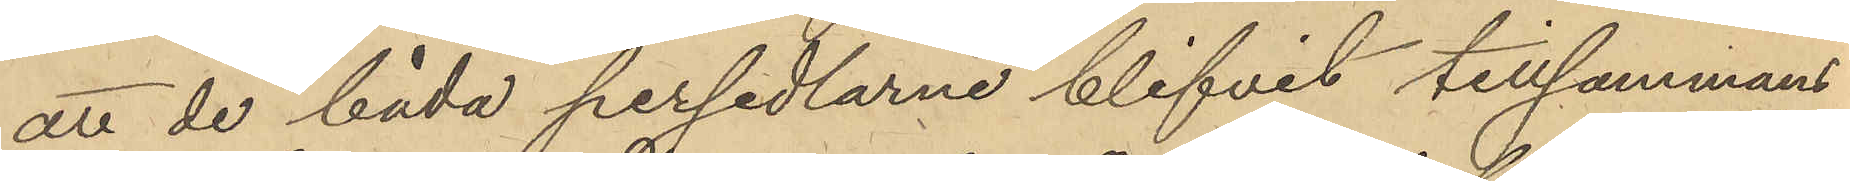att de båda persedlarne blifvit tillsammans
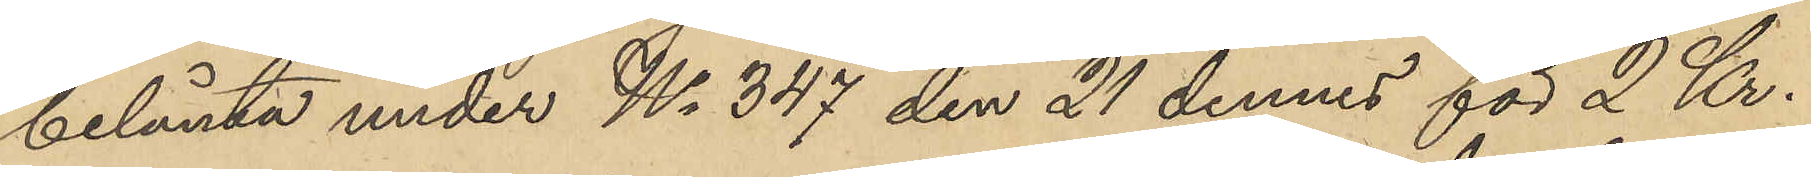belånta under No 347 den 21 dennes för 2 Kr.
